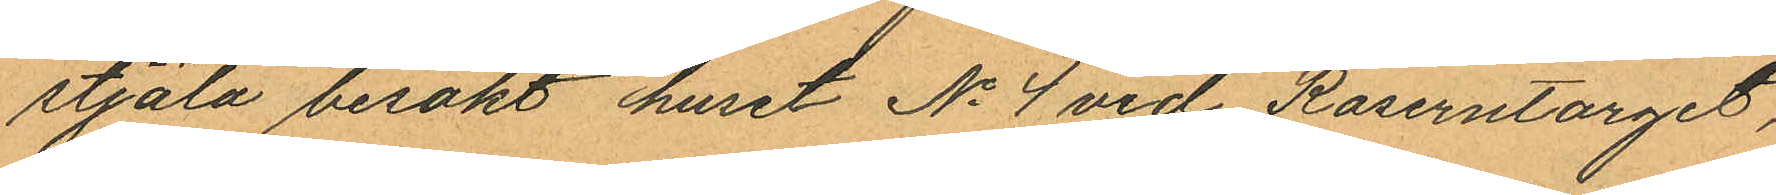stjäla besökt huset No 4 vid Kaserntorget,
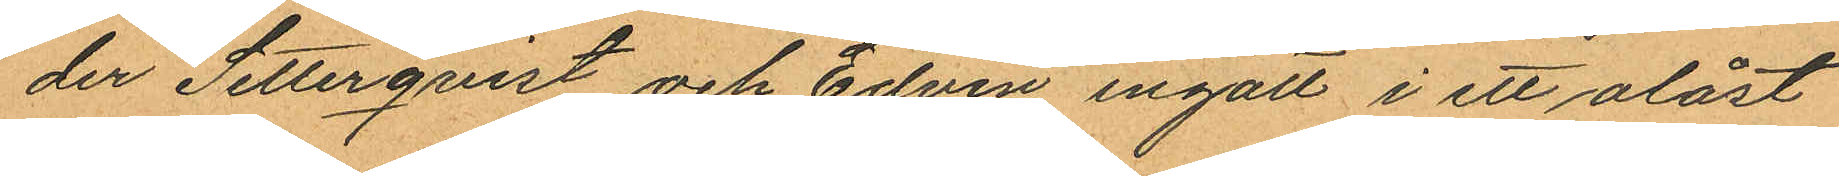der Setterqvist och Edvin ingått i ett olåst
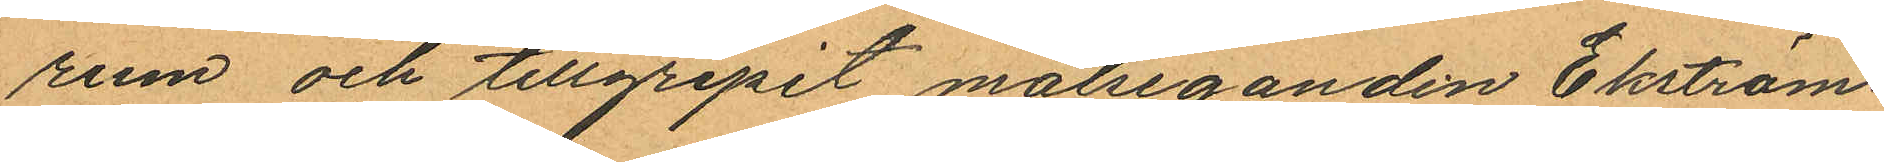rum och tillgripit målseganden Ekströms
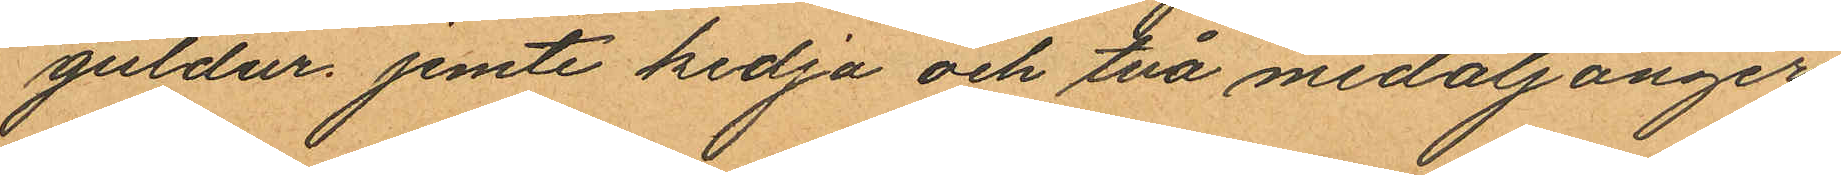guldur jemte kedja och två medaljonger
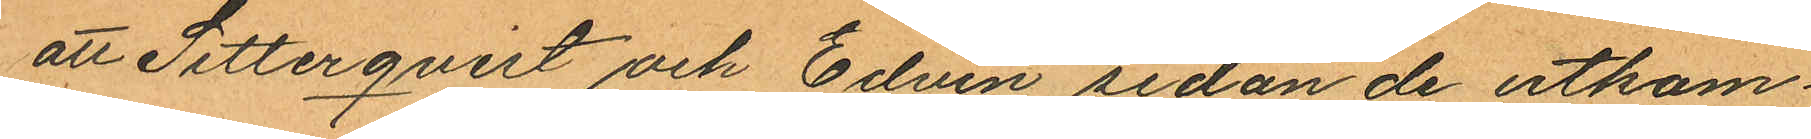att Setterqvist och Edvin sedan de utkom¬
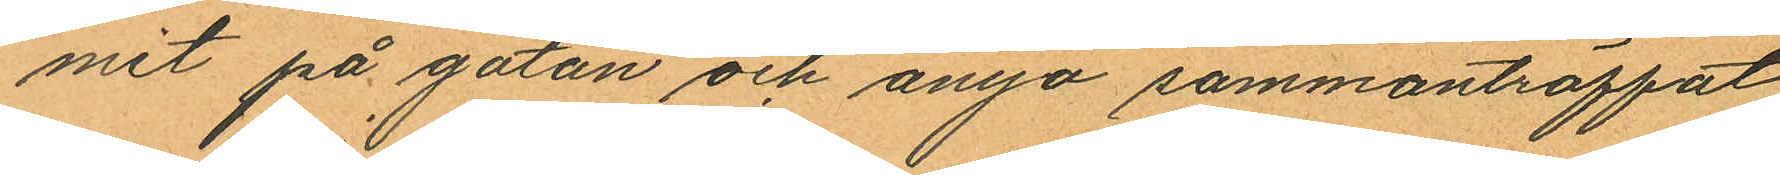mit på gatan och ånyo sammanträffat
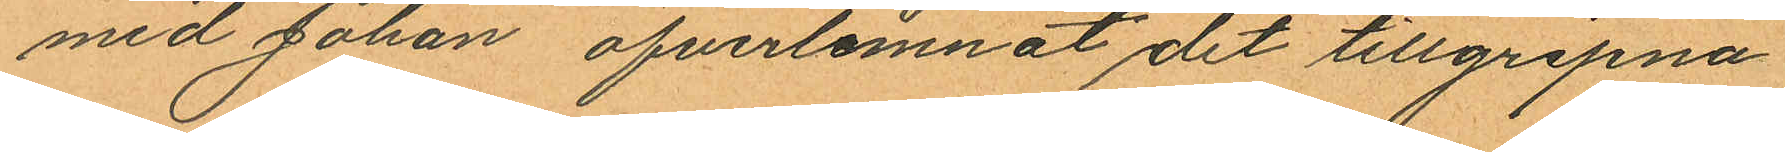med Johan öfverlemnat det tillgripna
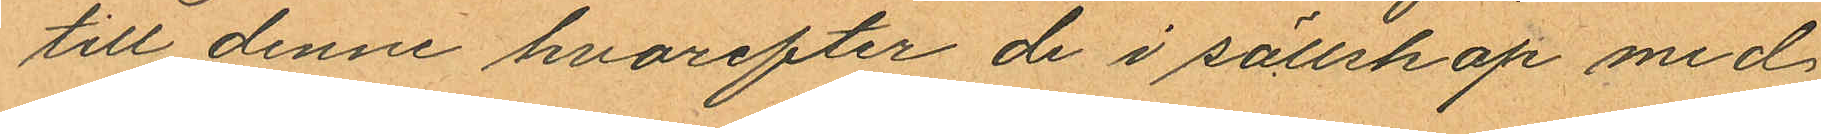till denne hvarefter de i sällskap med
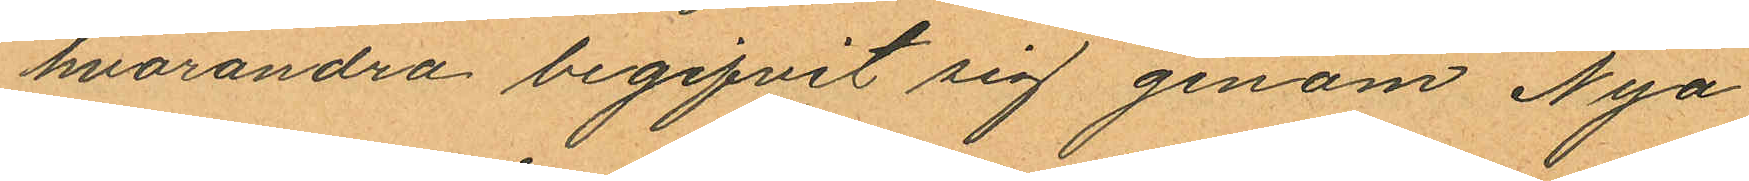hvarandra begifvit sig genom Nya
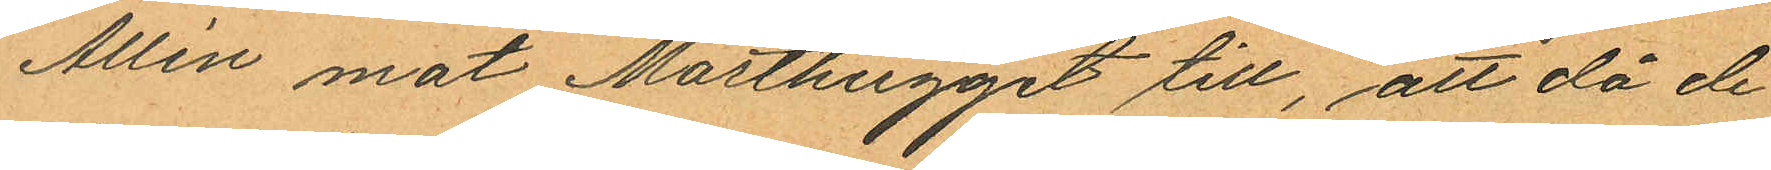Allén mot Masthugget till, att då de
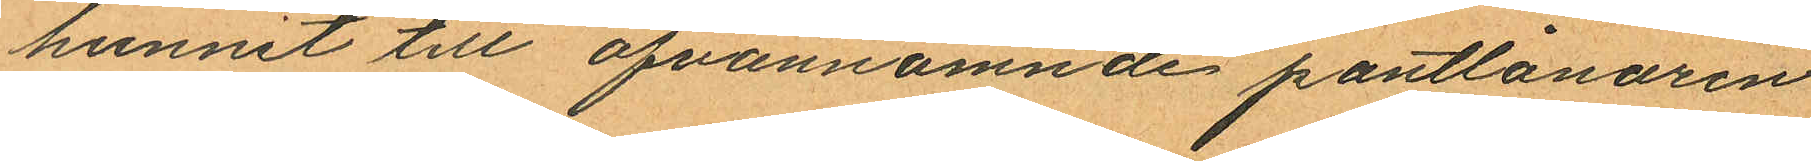hunnit till ofvannämnde pantlånaren
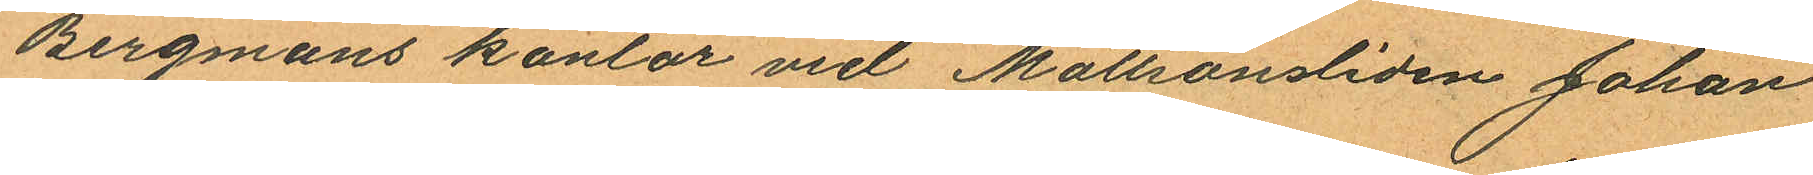Bergmans kontor vid Mattsonsliden Johan
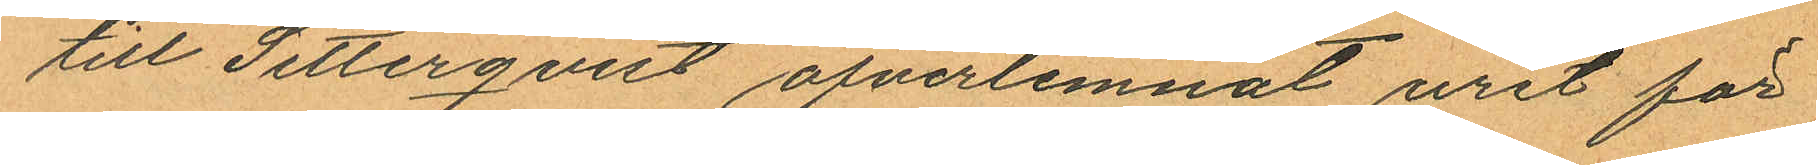till Setterqvist öfverlemnat uret för
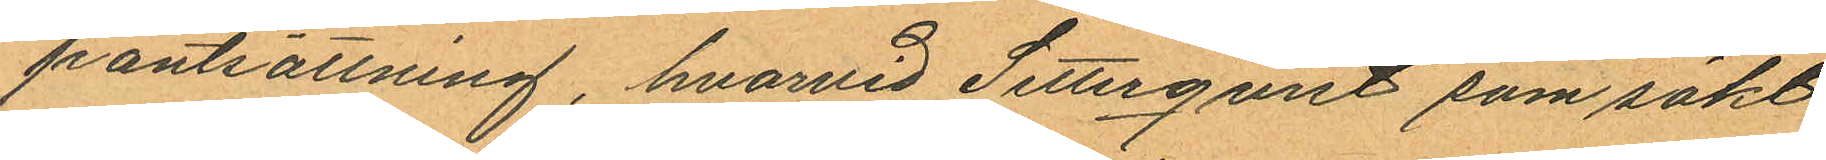pantsättning, hvarvid Setterqvist som sökt
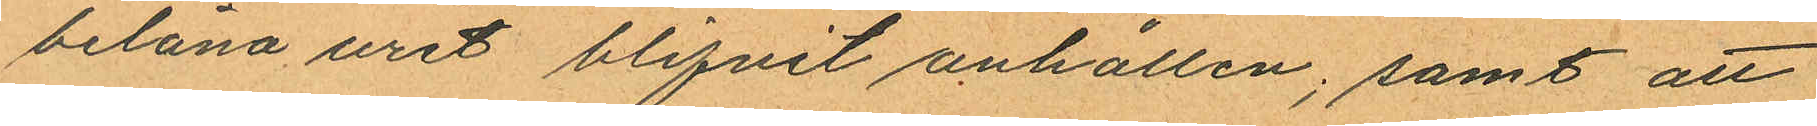belåna uret blifvit anhållen; samt att
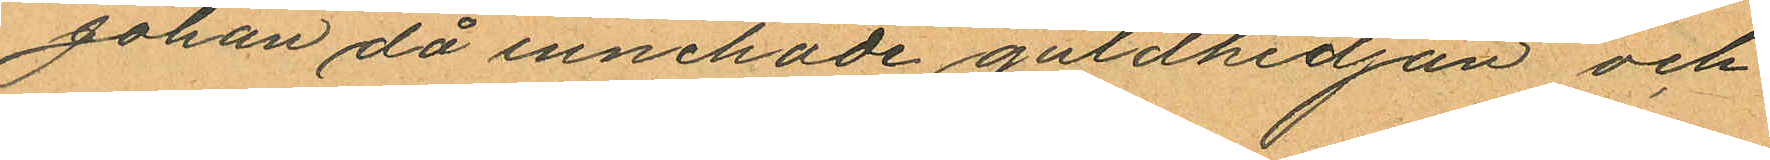Johan då innehade guldkedjan och
